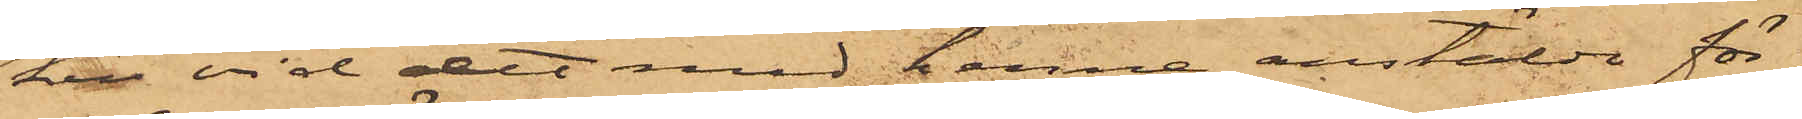ken vid det med henne anstälde för¬
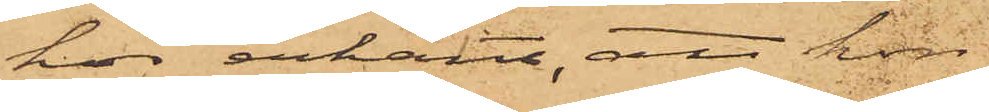hör erkänt, att hon
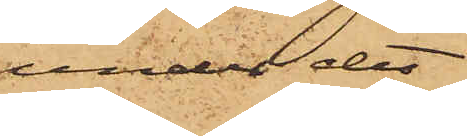under det
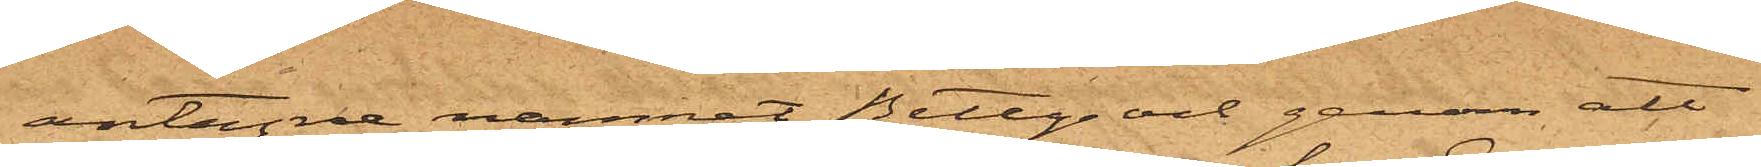antagne namnet Betty  och genom att
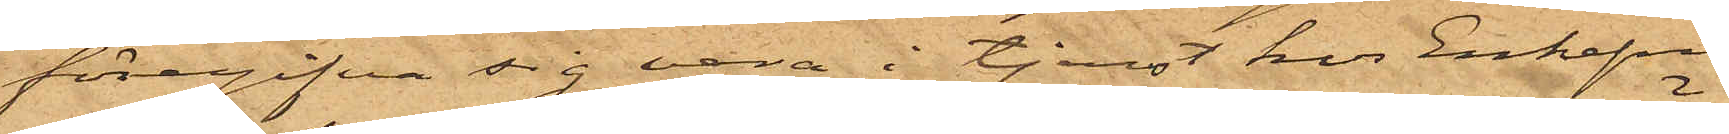föregifva sig vara i tjenst hos Enkefru 
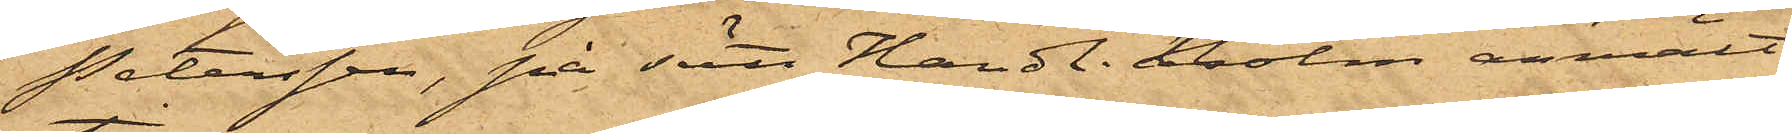Petersson, på sätt Handl. Holm anmält,
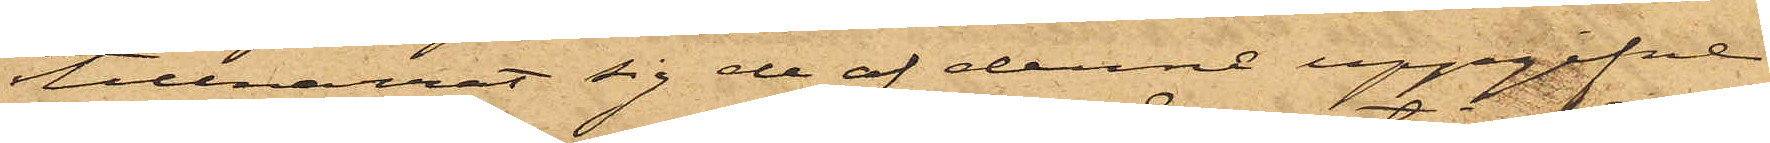tillnarrat sig de af denne uppgifne
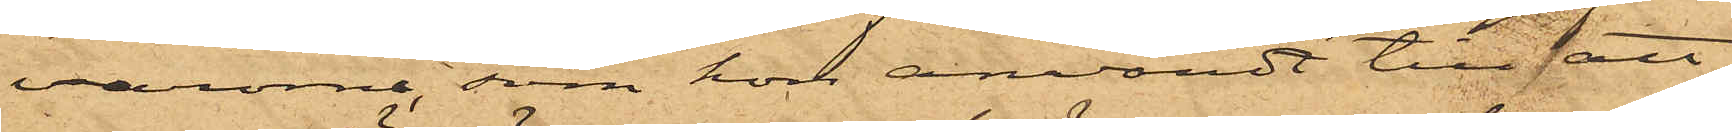varorna, som hon användt till att
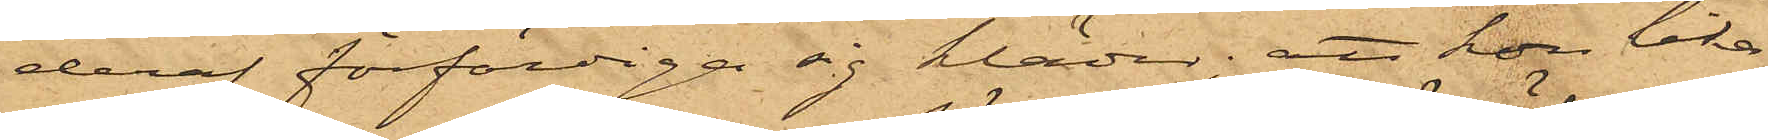deraf förfärdiga sig kläder; att hon lika¬
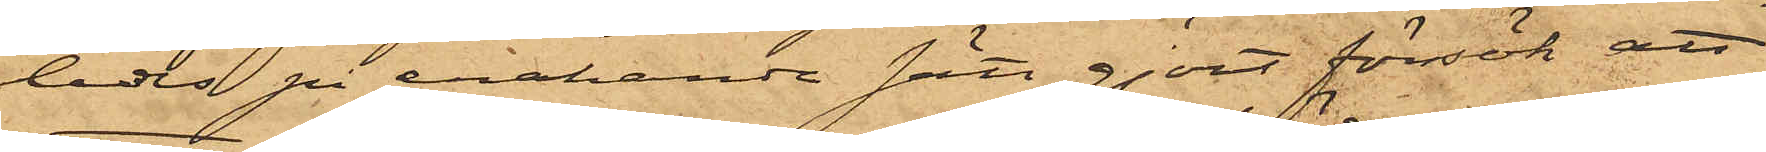ledes på enahanda sätt gjort försök att
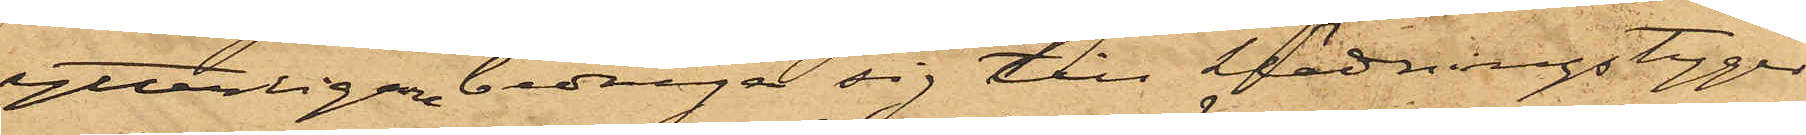ytterligare bedraga sig till klädningstyger
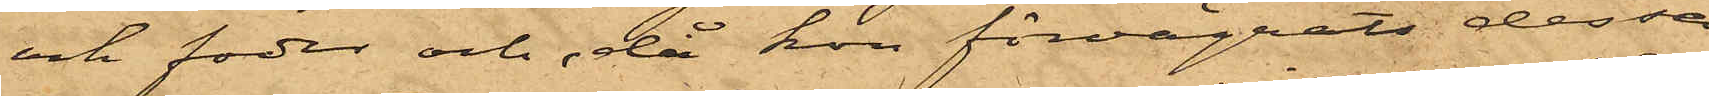och foder och, då hon förvägrats dessa
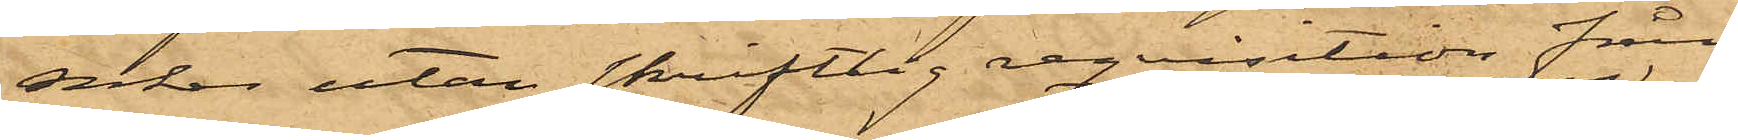saker utan skriftlig reqvisition från
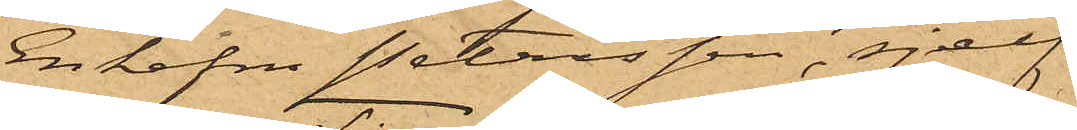Enkefru Petersson, sjelf
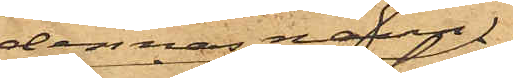i dennas namn
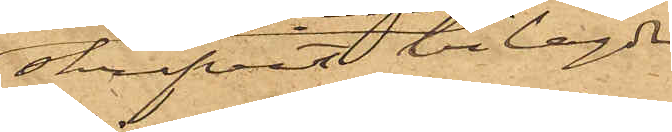skrifvit bilagde
